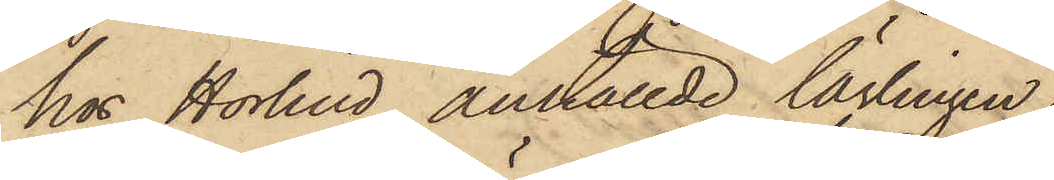hos Hörlind anställde lärlingen
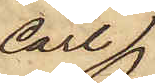Carl 
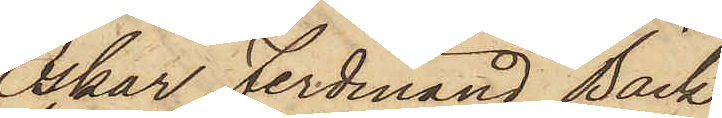Oskar Ferdinand Bäck¬
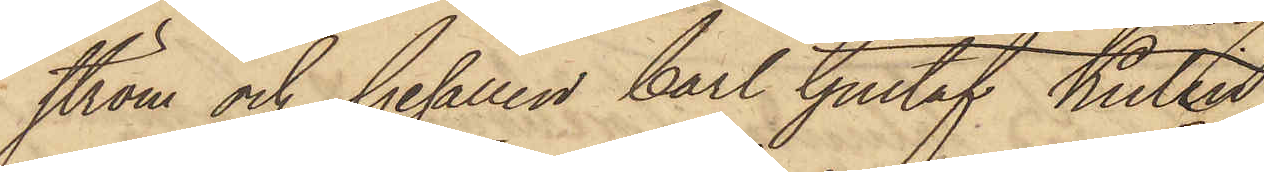ström och Gesällen Carl Gustaf Kulin
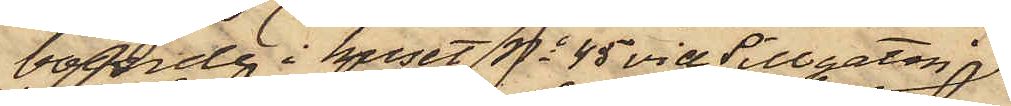boende i huset No 45 vid Sillgatan
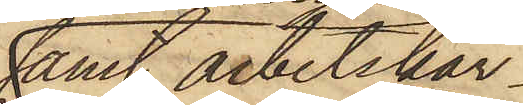samt arbetskar¬
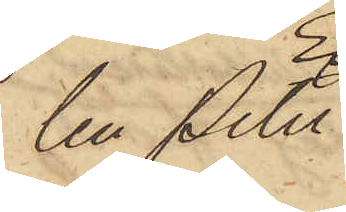len Peter
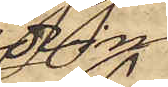Edvin
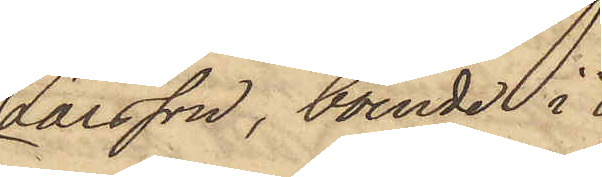Larsson, boende i
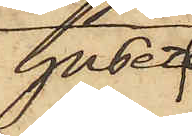huset
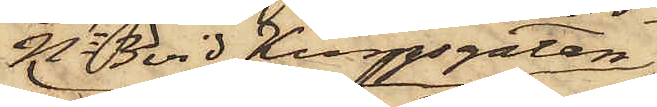No 3 vid Kungsgatan
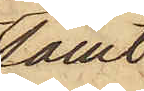samt
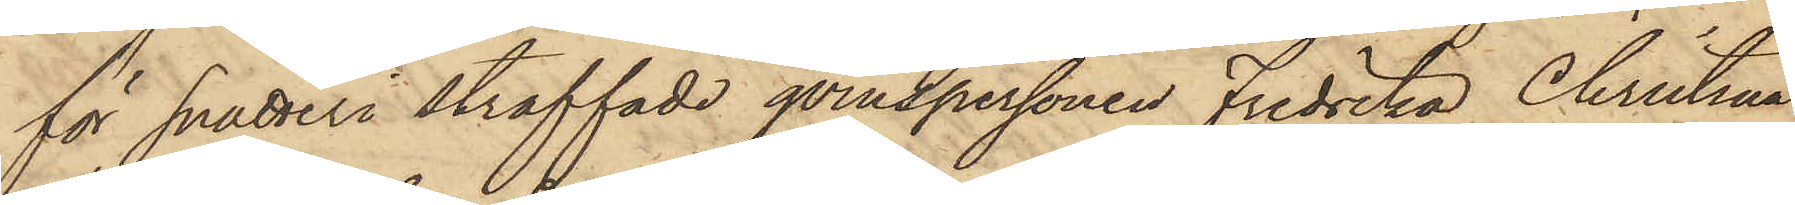för Snatteri straffade qvinspersonen Fredrika Christina
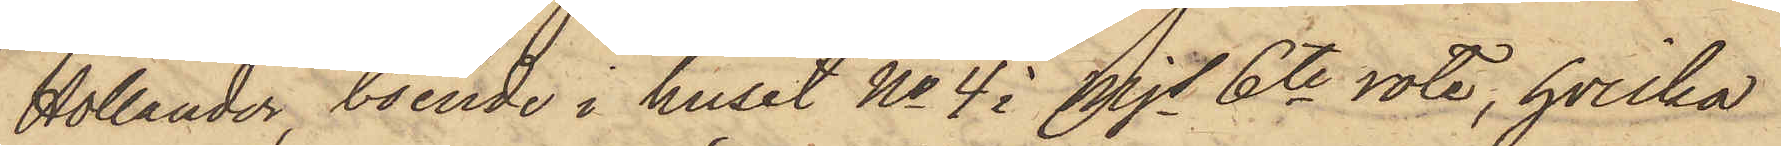Hollander, boende i huset No 4 i Mjs 6te rote, hvilka
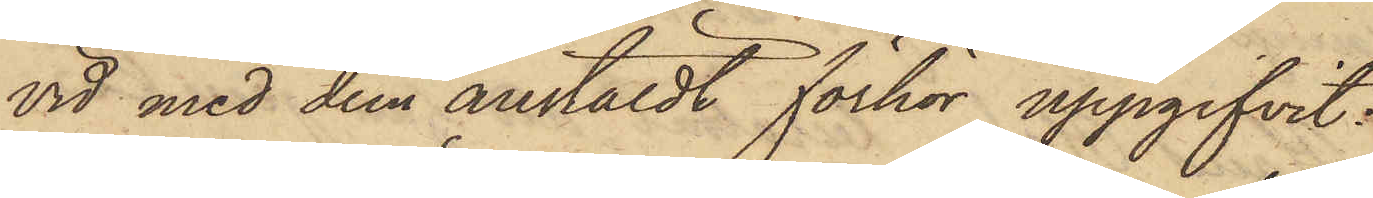vid med dem anstäldt förhör uppgifvit:
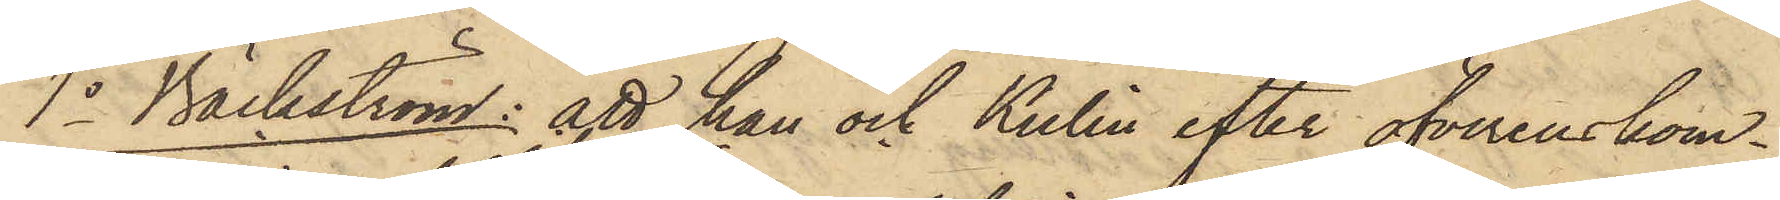1o Bäckström: att han och Kulin efter öfverenskom¬
